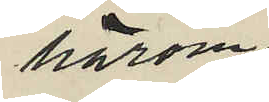härom
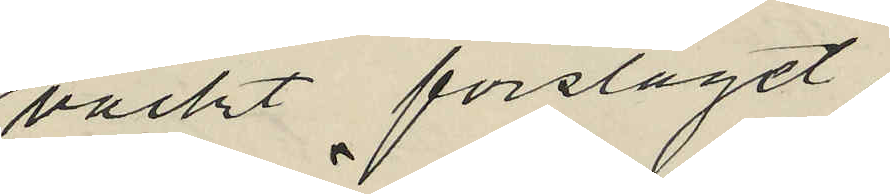väckt förslaget,
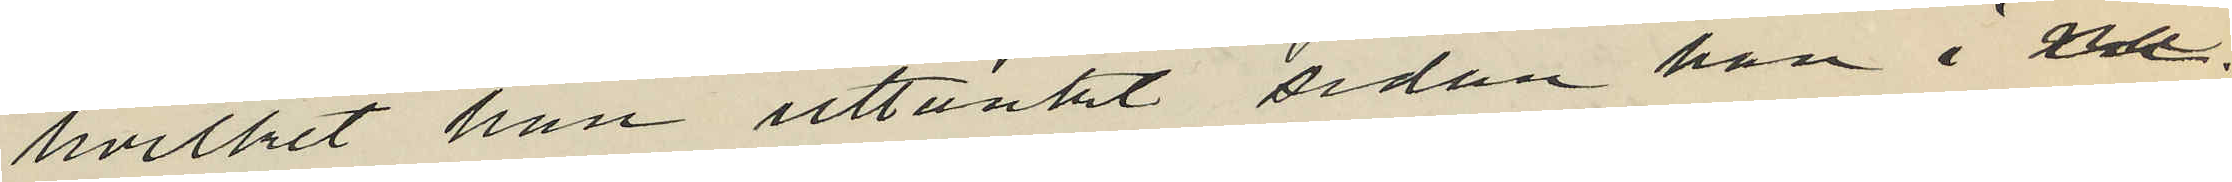hvilket han uttänkt sedan han i nå¬
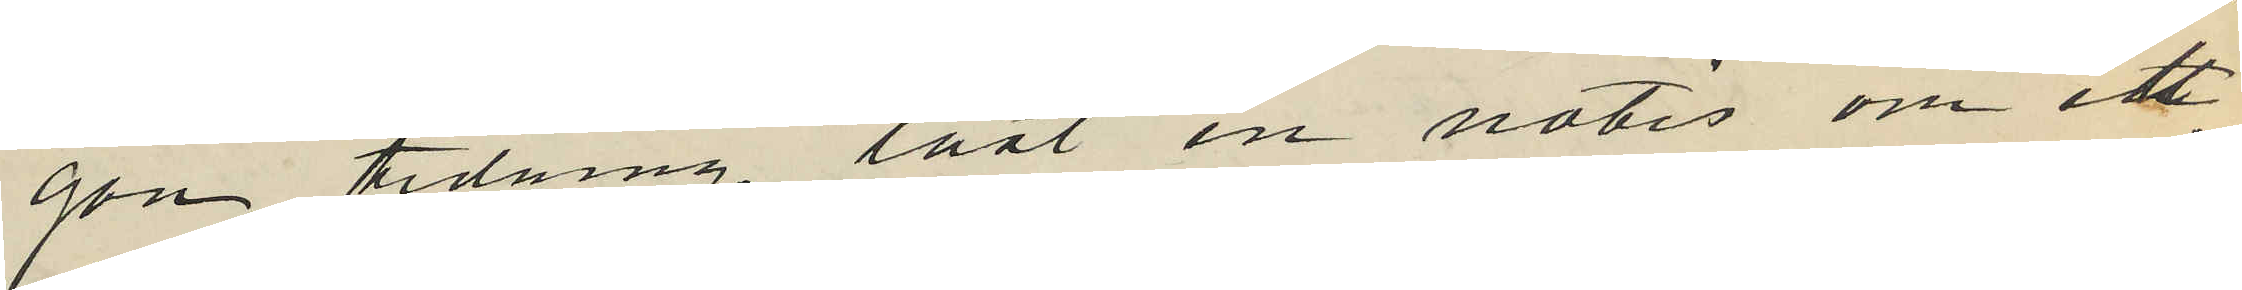gon tidning läst en notis om ett
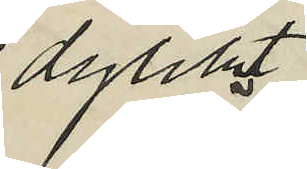dylikt
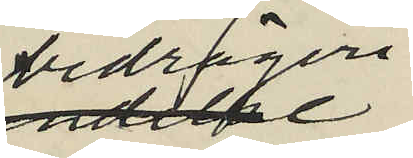bedrägeri,
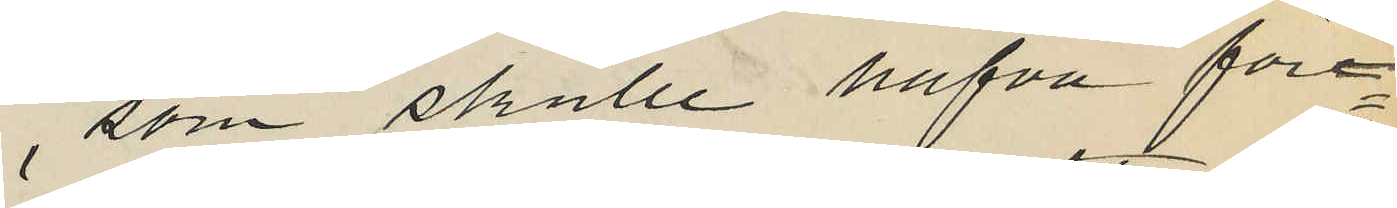som skulle hafva före¬
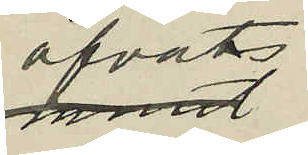öfvats
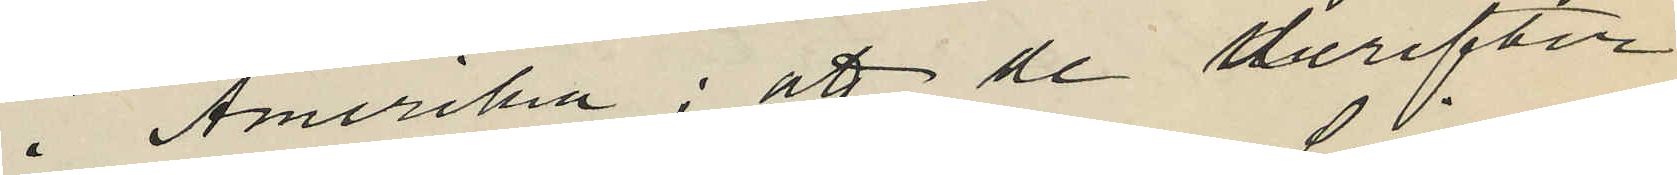i Amerika; att de derefter
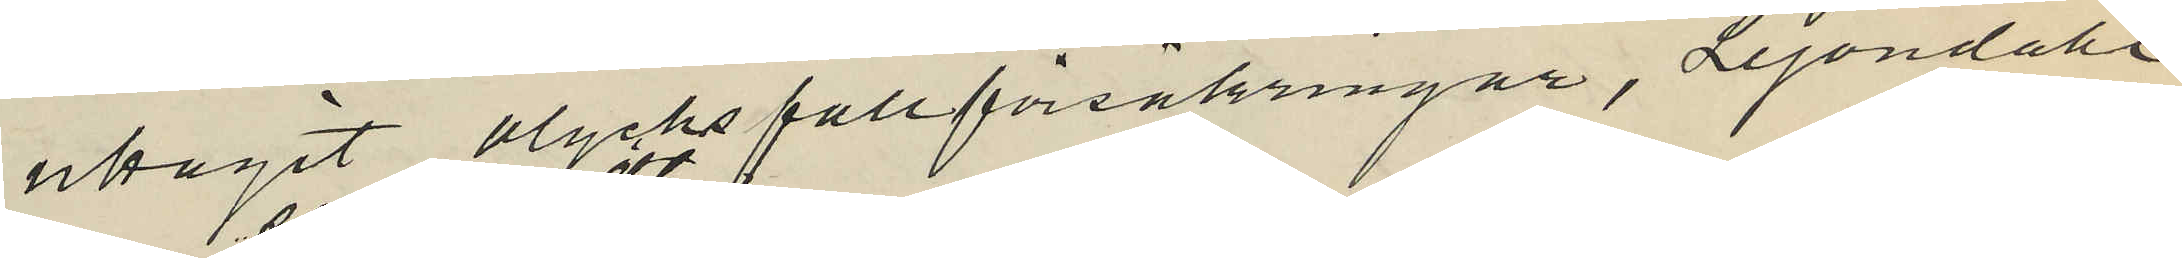utagit olycksfallförsäkringar, Lejondahl
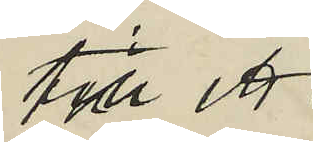till ett
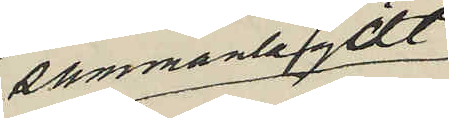sammanlagdt
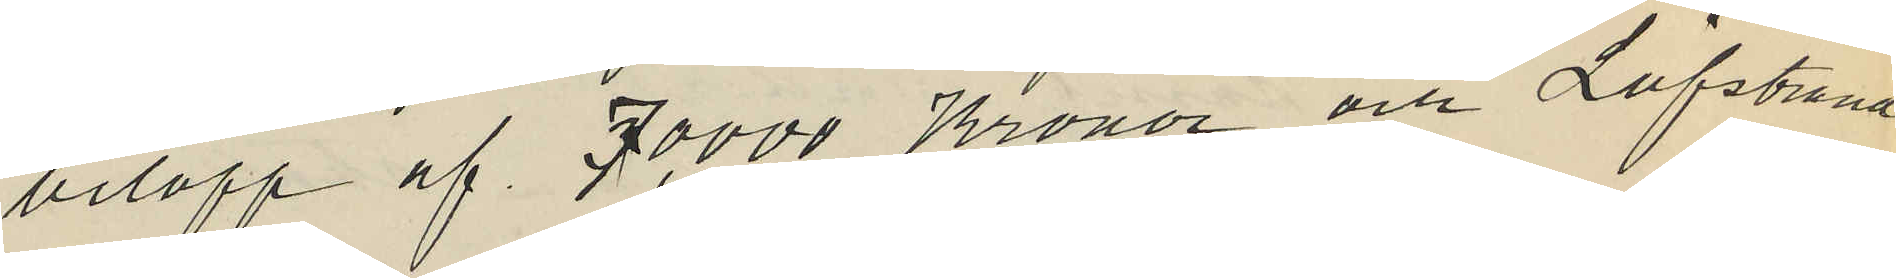belopp af 70,000 Kronor och Löfstrand
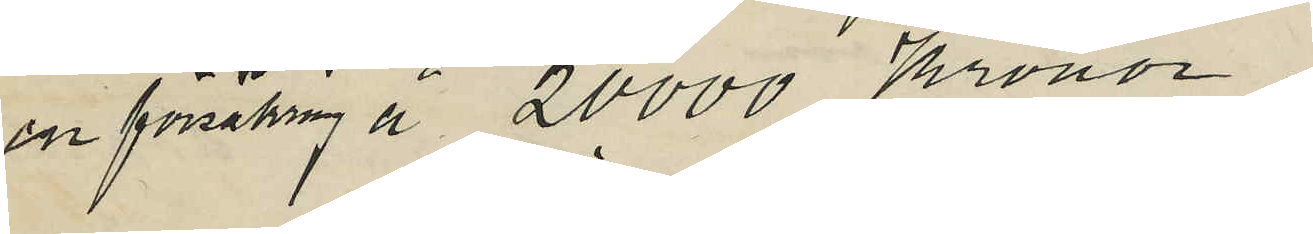en försäkring å 20,000 Kronor,
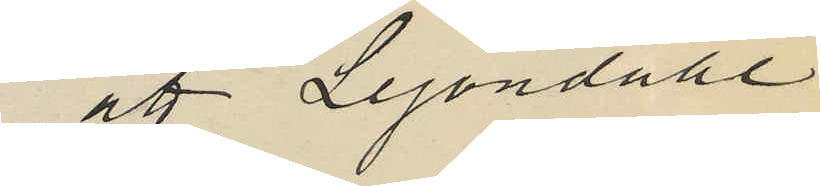att Lejondahl
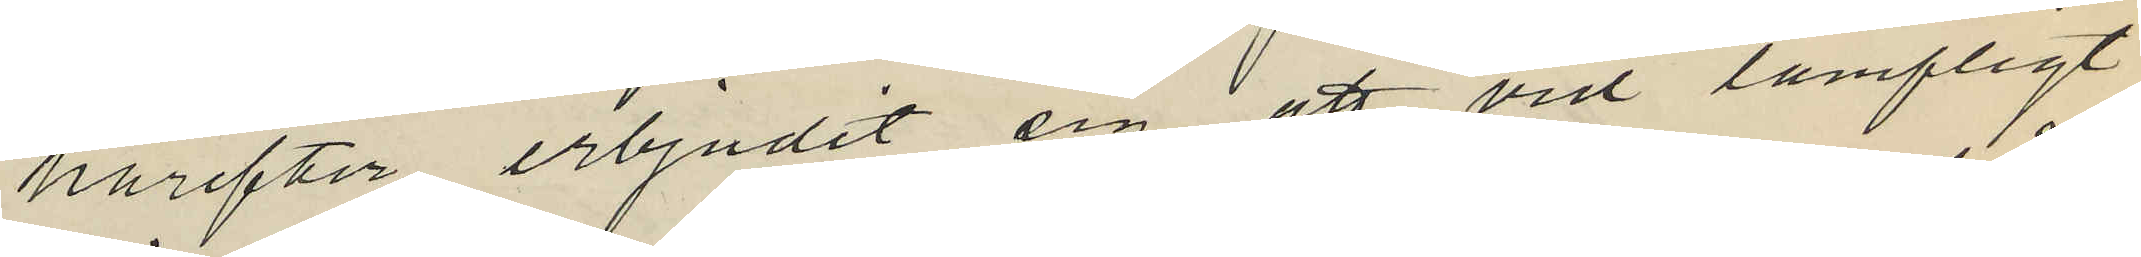härefter erbjudit sig att vid lämpligt
